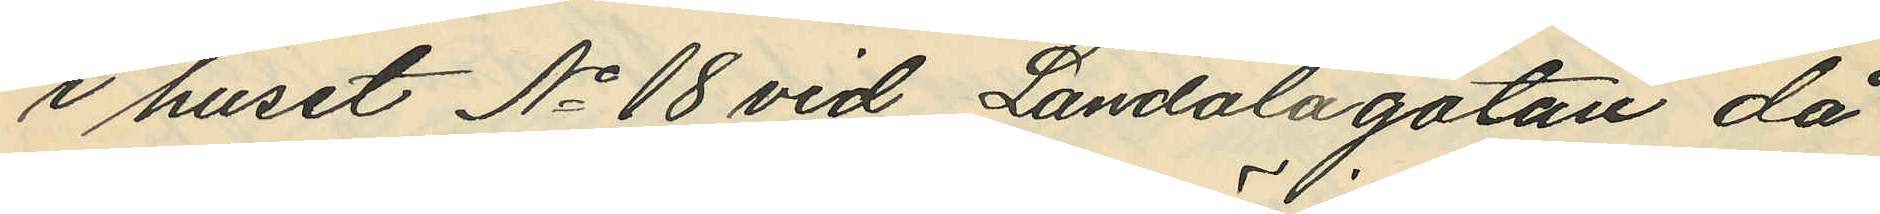i huset No 18 vid Landalagatan då
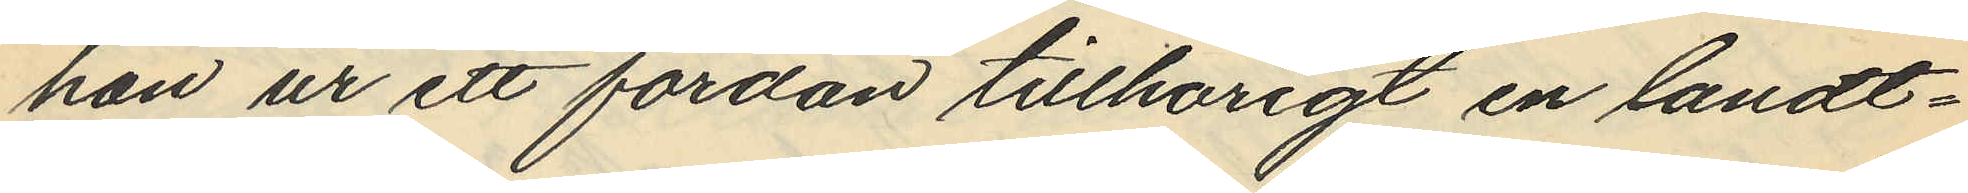han ur ett fordon tillhörigt en landt¬
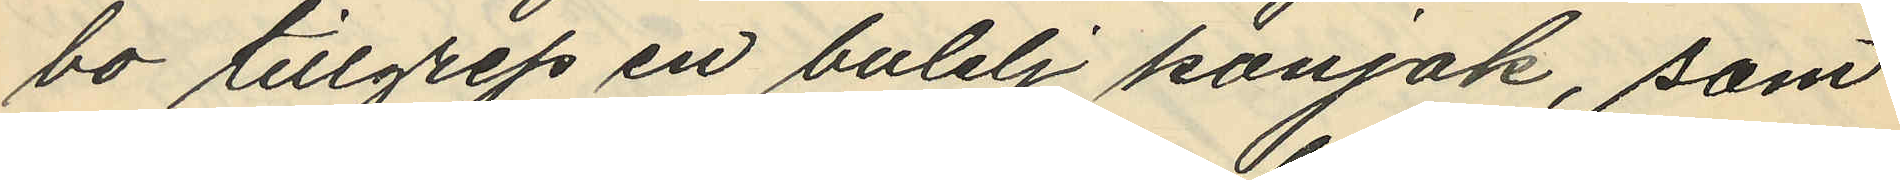bo tillgrep en butelj konjak, som
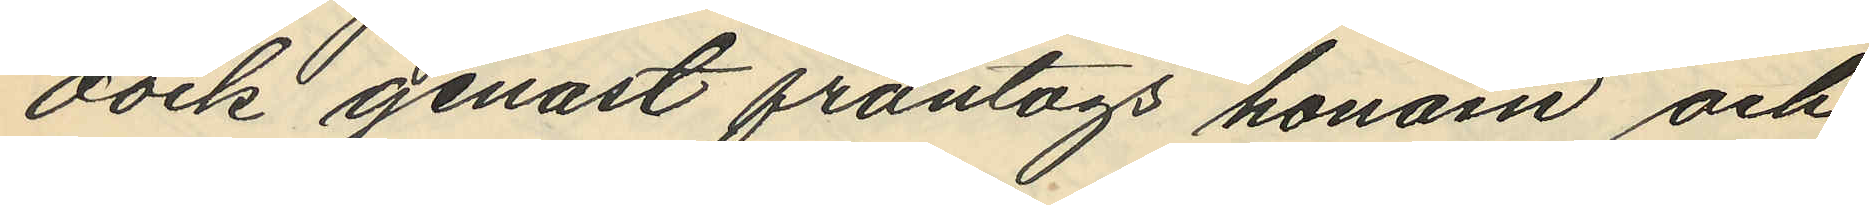dock genast fråntogs honom och
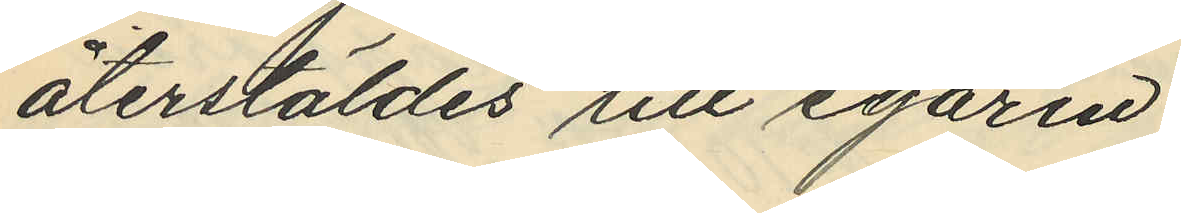återstäldes till egaren.
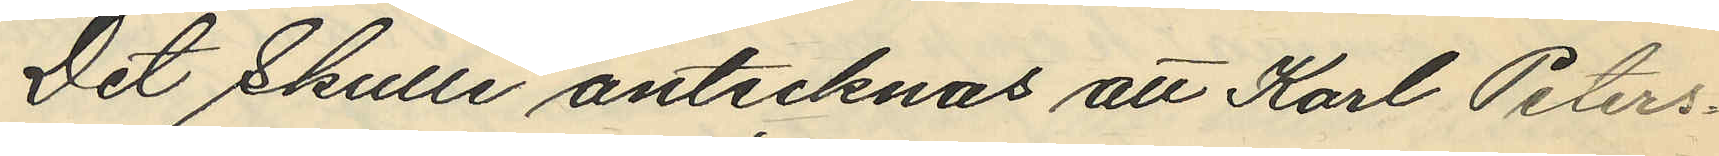Det skulle antecknas att Karl Peters¬
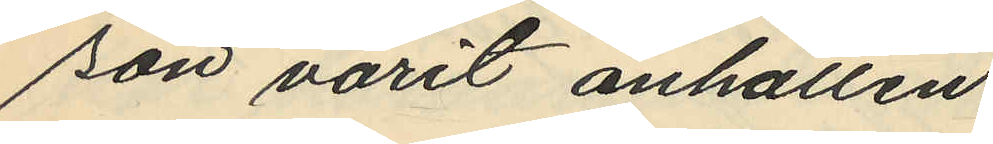son varit anhållen
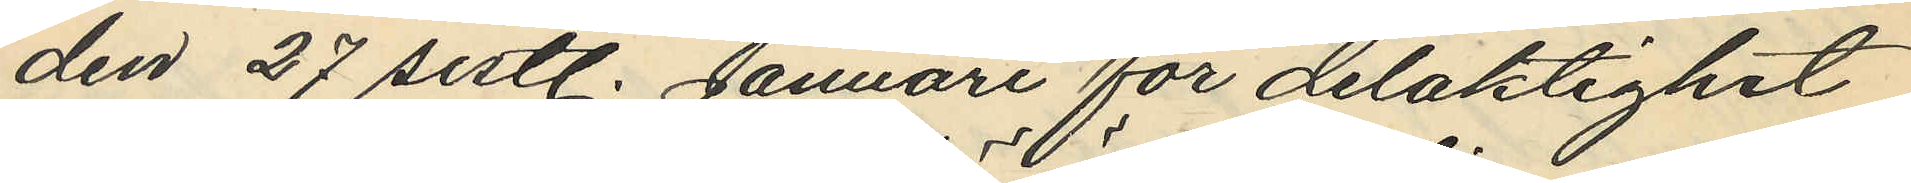den 27 sistl. Januari för delaktighet
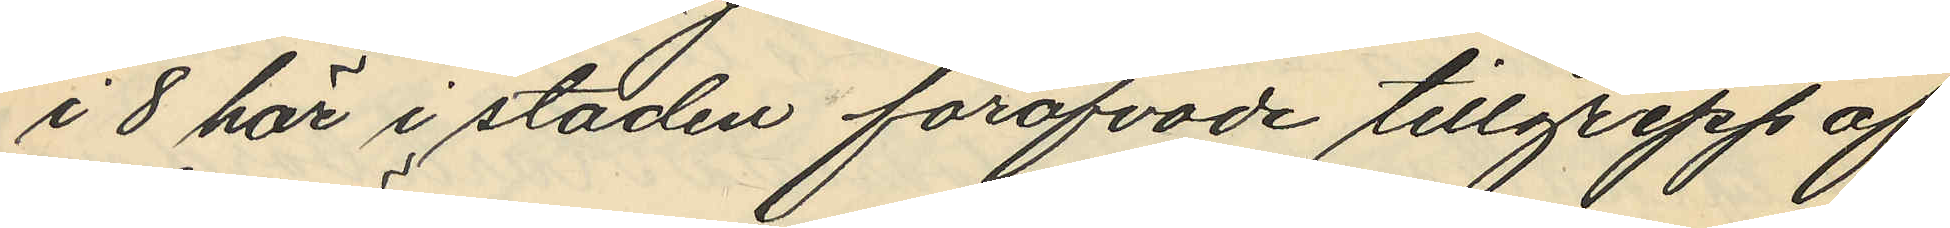i 8 här i staden föröfvade tillgrepp af
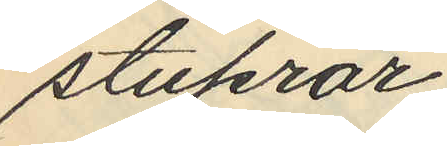stuprör,
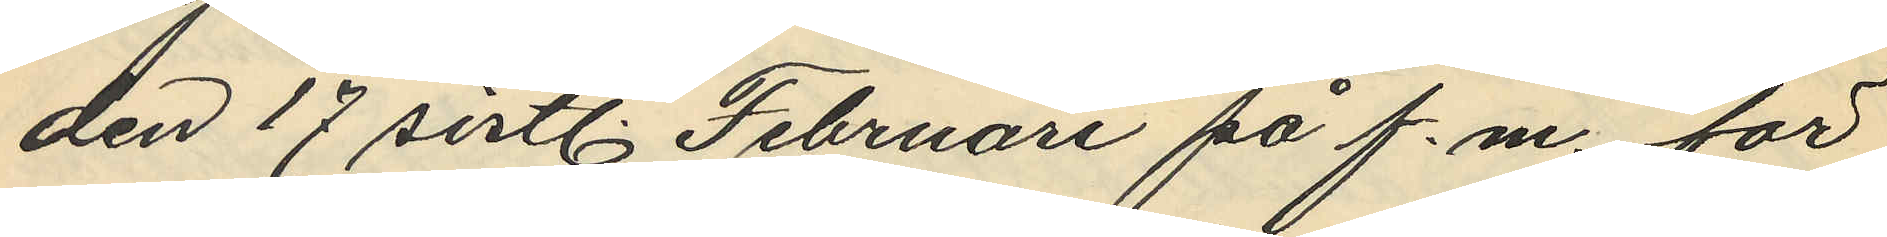den 17 sistl. Februari på f.m. för
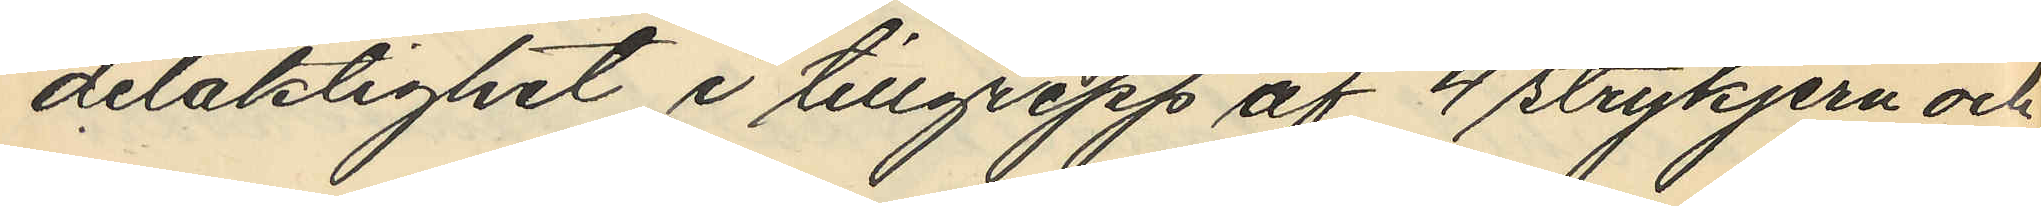delaktighet i tillgrepp af 4 strykjern och
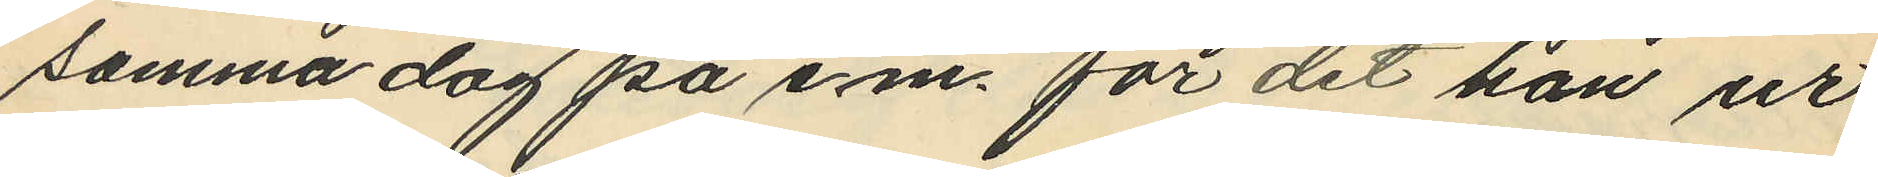samma dag på e.m. för det han ur
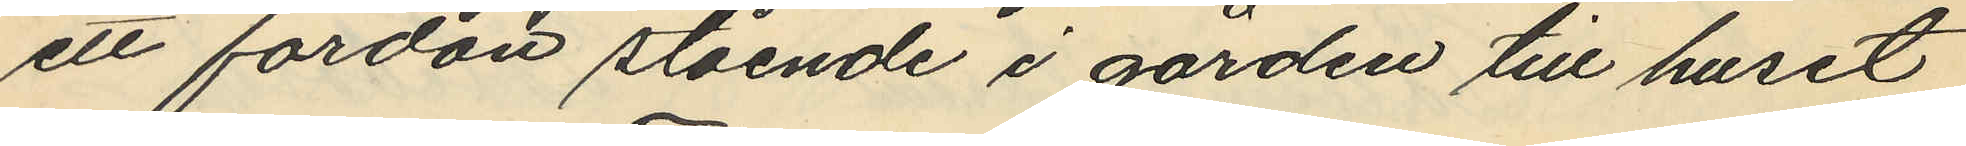ett fordon stående i gården till huset
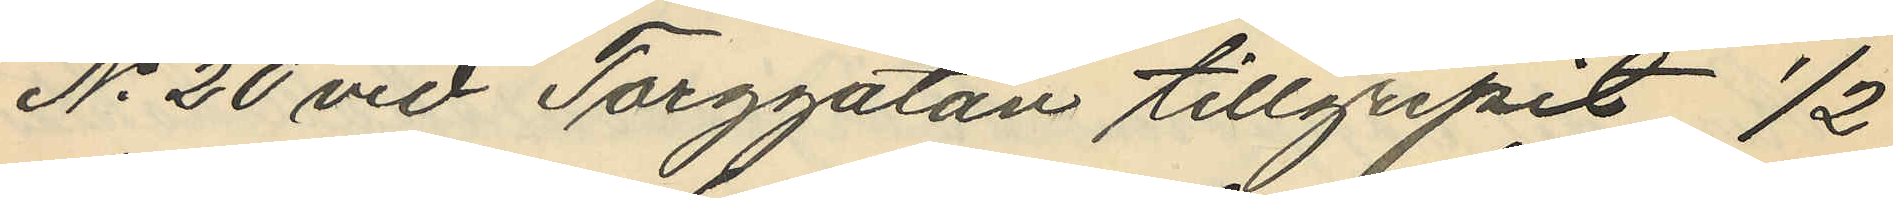No 20 vid Torggatan tillgripit 1/2
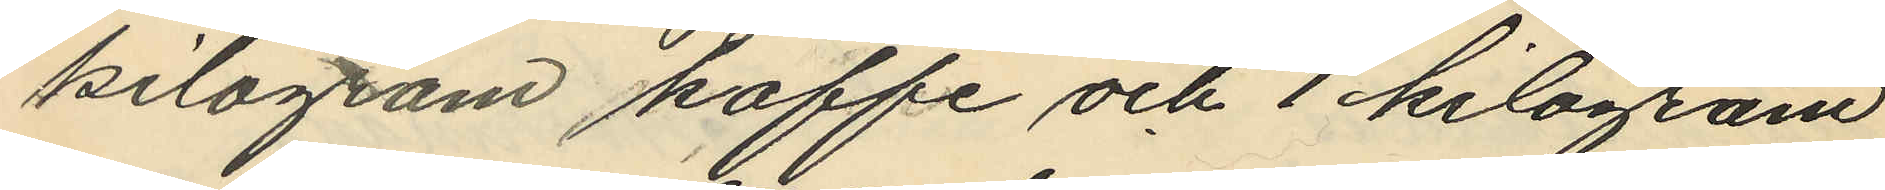kilogram kaffe och 1 kilogram
